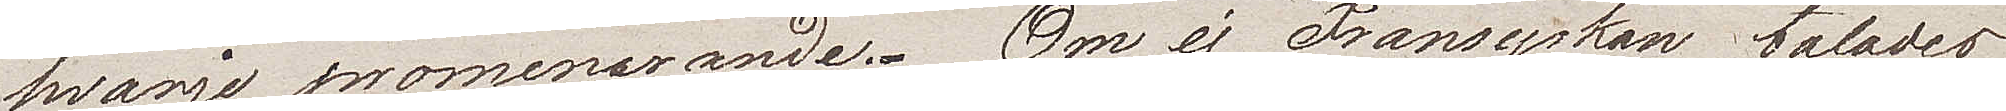hvarje promenade. Om ej Fransyskan talades
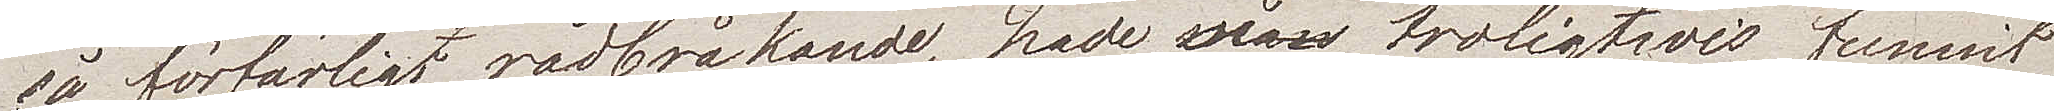så förfärligt rådbråkande, hade man troligwis funnit
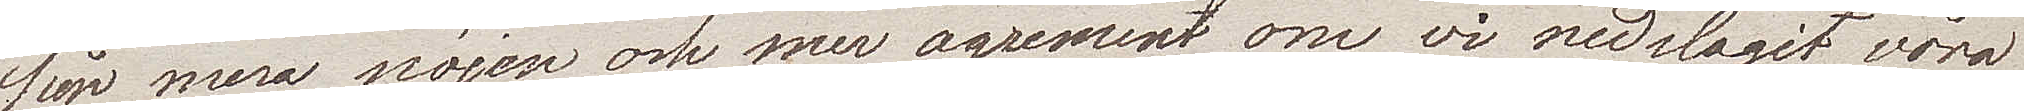sig mera nöjen och mer agrement om vi nedslagit våra
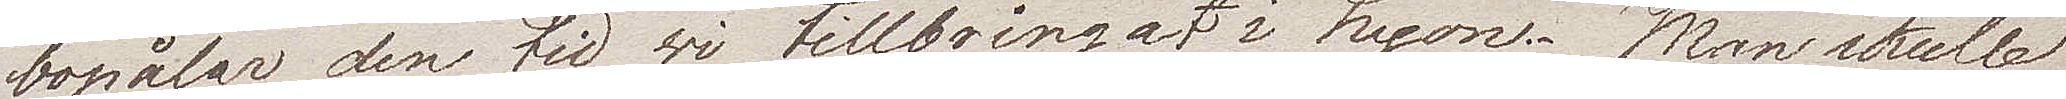bopålar den tid wi tillbringat i Lyon. Man skulle
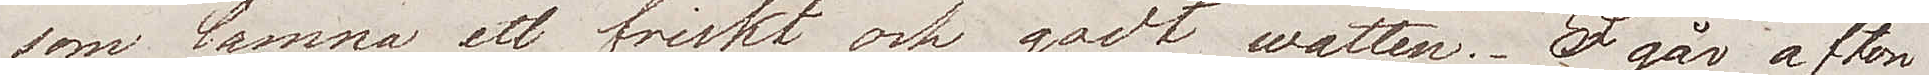som lämna ett friskt och godt watten. I går afton
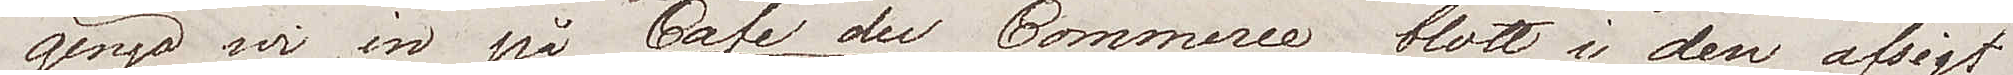gingo vi in på Café du Commerce, blott i den afsigt
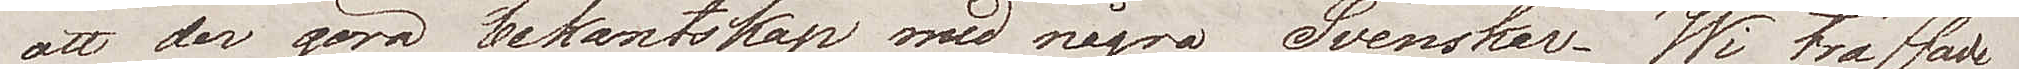att der göra bekantskap med några Svenskar. Wi träffade
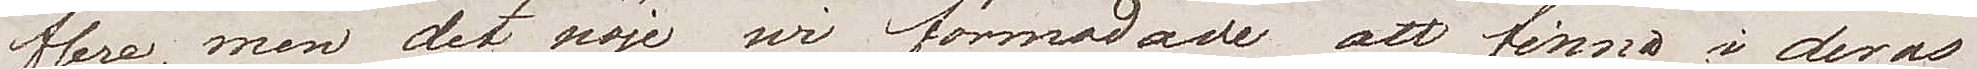flere, men det nöje wi förmodade att finna i deras
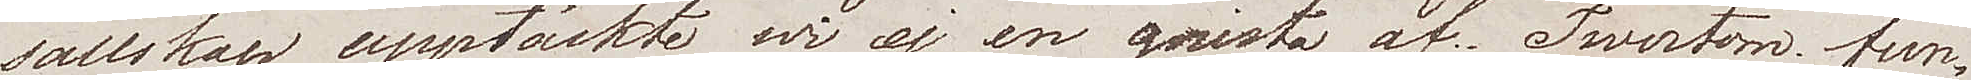sällskap upptäckte wi ej en gnista af. Twertom fun¬
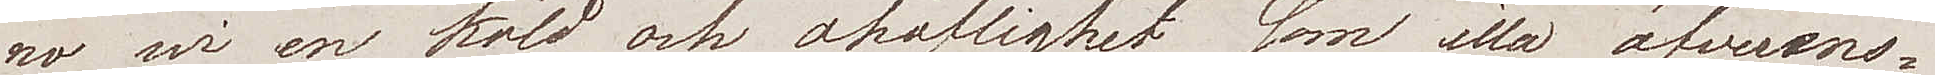no wi en köld och ohöflighet som illa öfverens¬
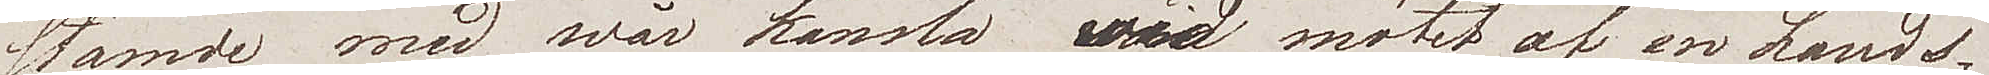stämde med wår känsla wid mötet af en Lands¬
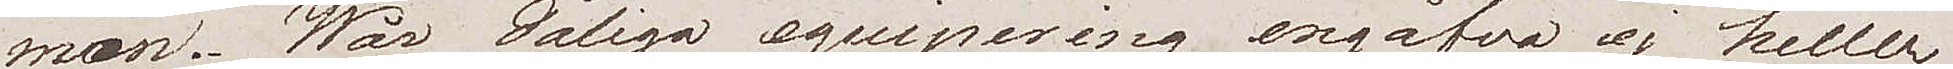man. Wår dåliga equipering ingåfvo ej heller
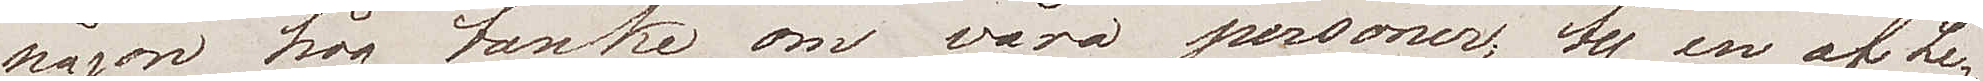någon hög tanke om våra personer, ty en af Le¬
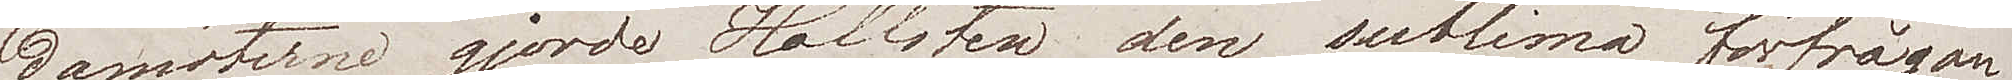damöterne gjorde Hoffsten den sublima förfrågan
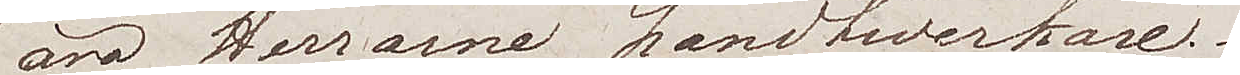"äro Herrarne Handtwerkare".
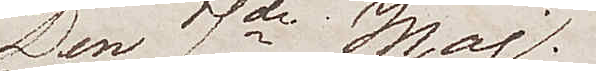Den 7de Maj.
